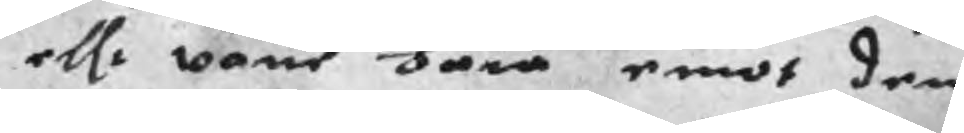ellr wärie bära emot den
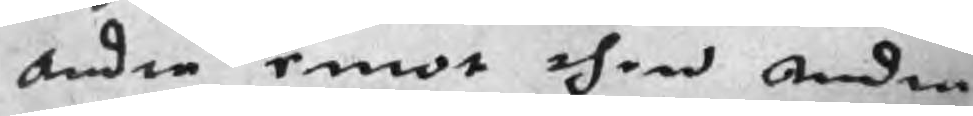andra emot then andra
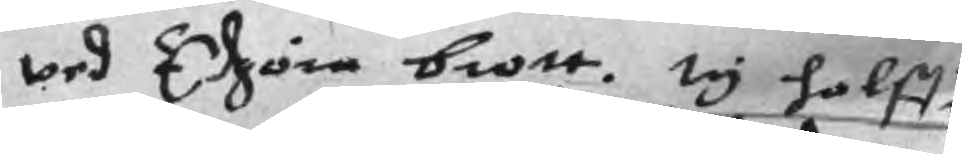wed Edzöra brott. ty halffu
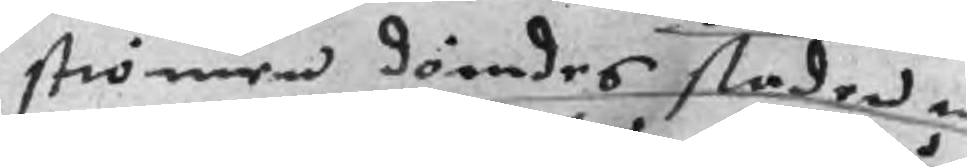strömen dömdes staden til
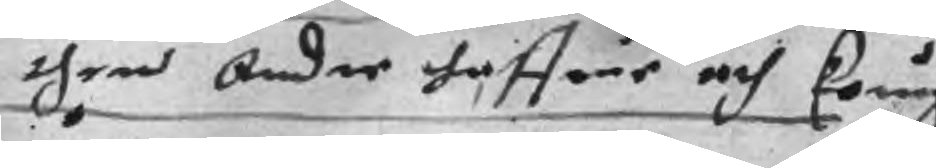then Andre haffue och koungz
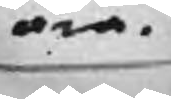ära.
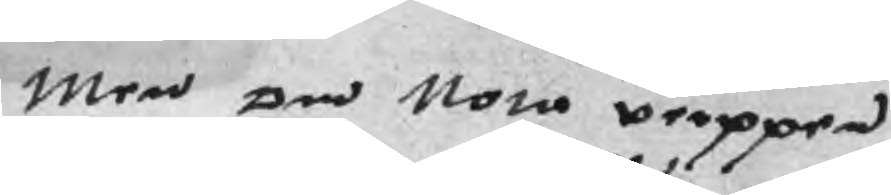Men om Nota verppen
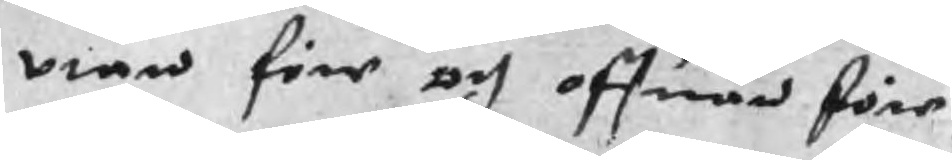vtan före och offuan före
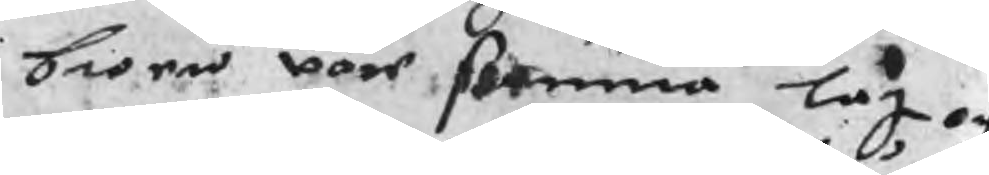broen vore samma lag och
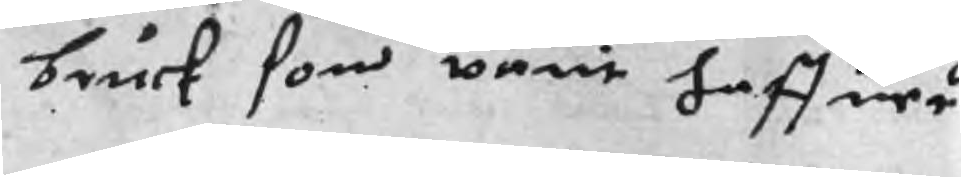bruck som varit haffuer
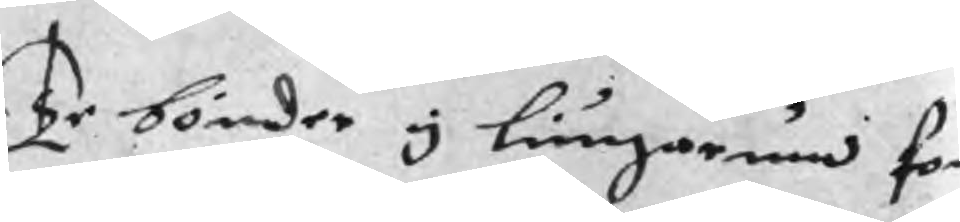Te bönder y Liungarum som
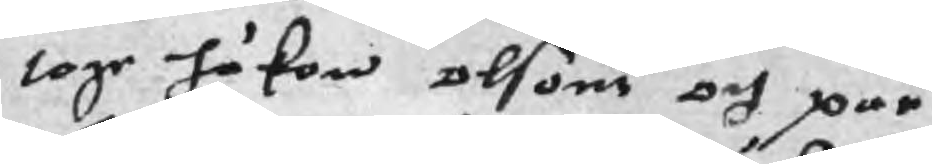toge håkon olsons och par
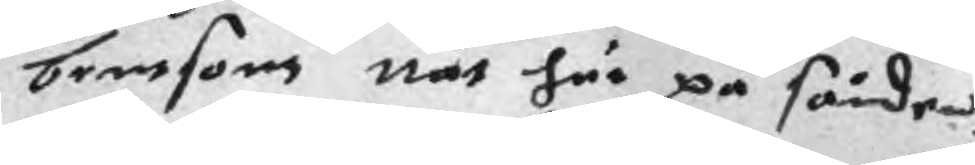bentsons nät här på sänden
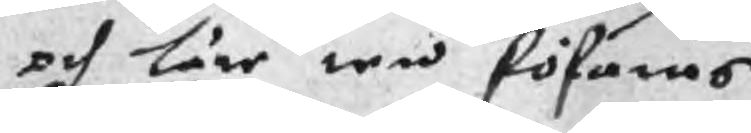och läre ten föfaras
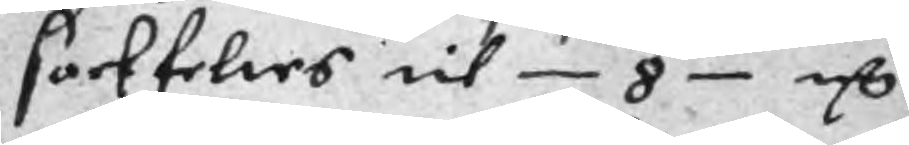sackfeltes til 8 mC
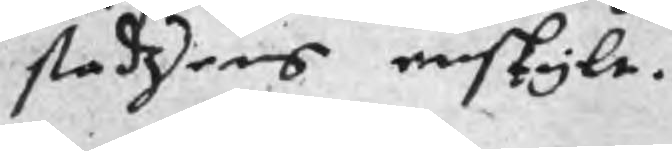stadzens enskylt.
